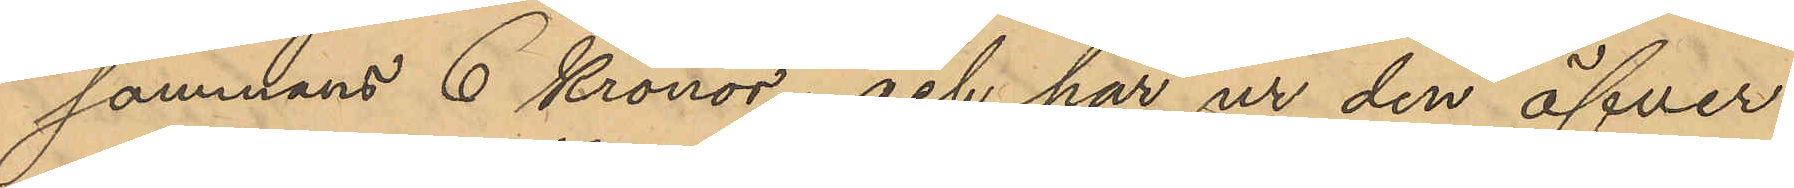sammans 6 Kronor; och har ur den öfver
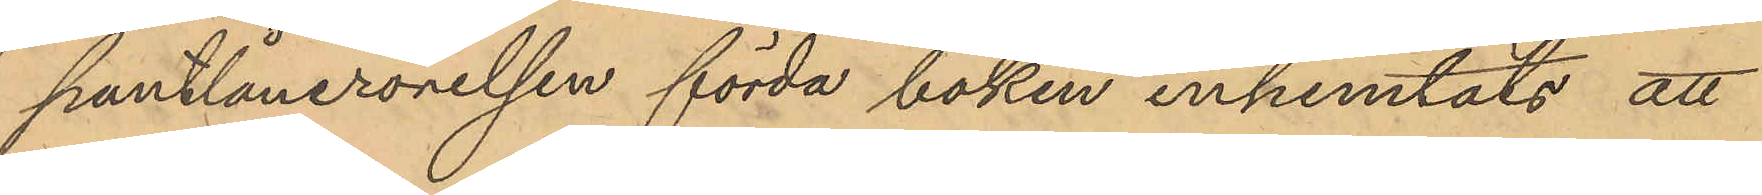pantlånerörelsen förda boken inhemtats att
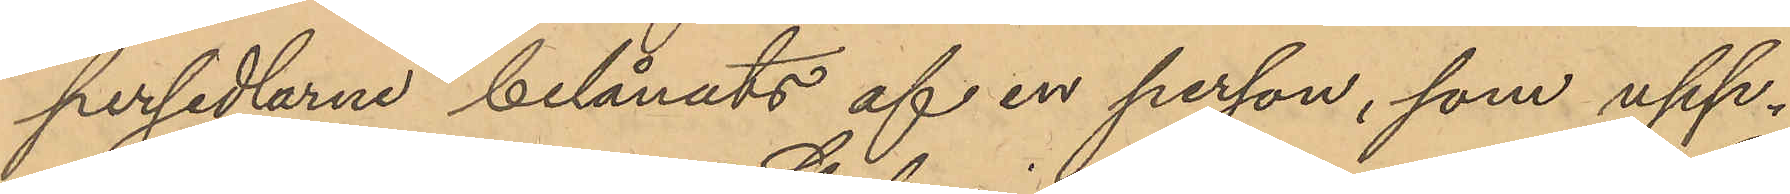persedlarne belånats af en person, som upp¬
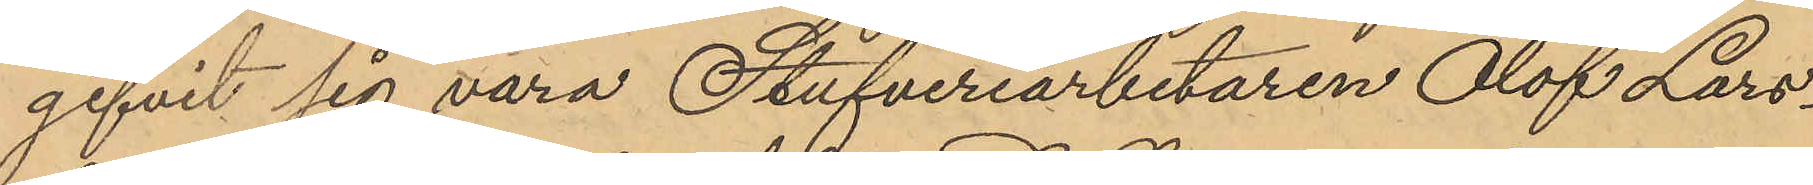gifvit sig vara Stufveriarbetaren Olof Lars¬
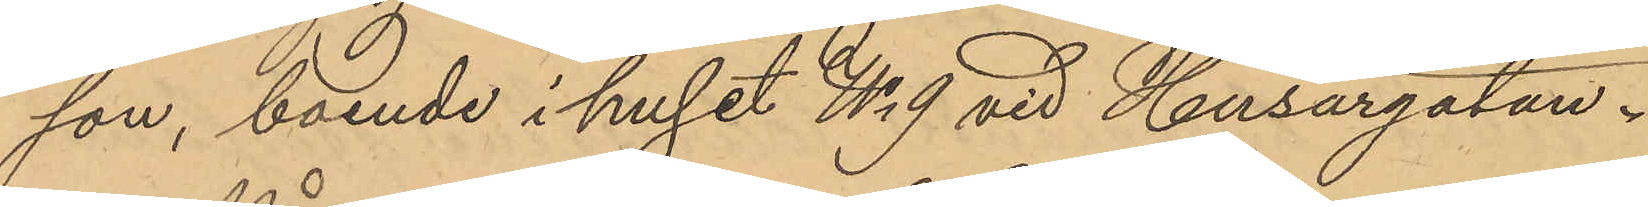son, boende i huset No 9 vid Husargatan.
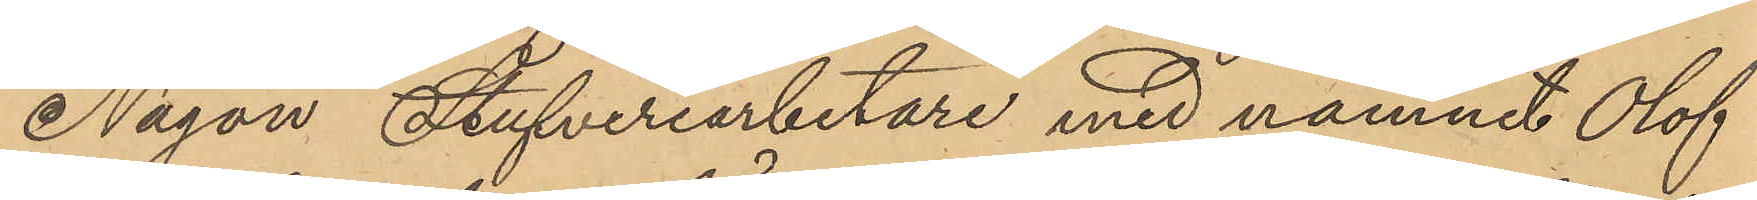Någon Stufveriarbetare med namnet Olof
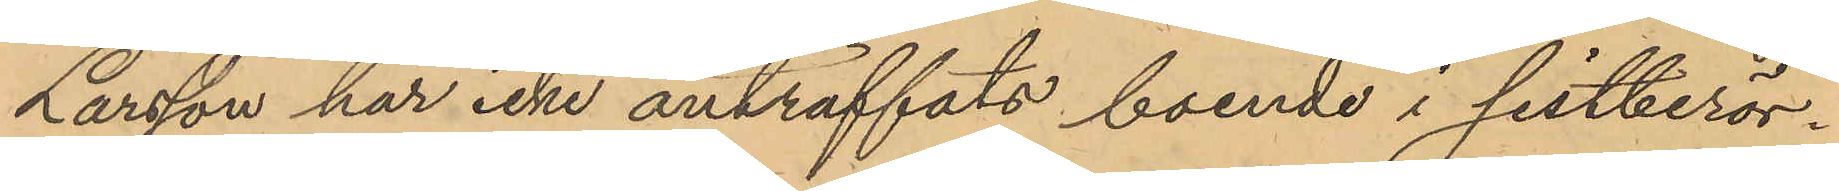Larsson har icke anträffats boende i sistberör¬
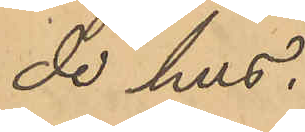de hus.
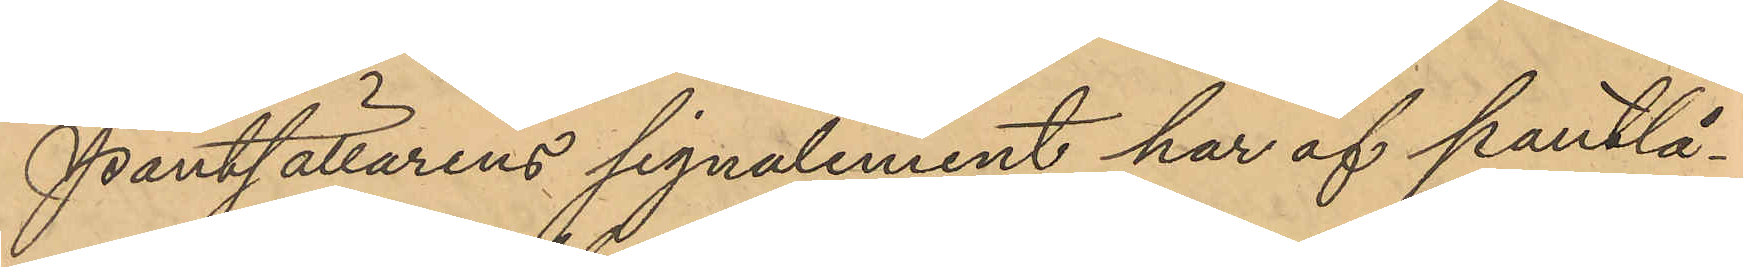Pantsättarens signalement har af pantlå¬
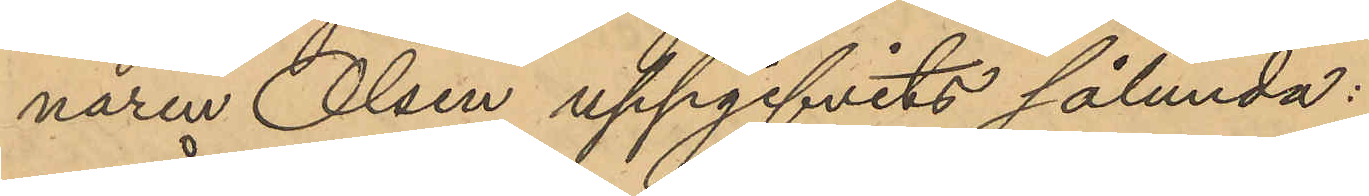naren Olsen uppgifvits sålunda:
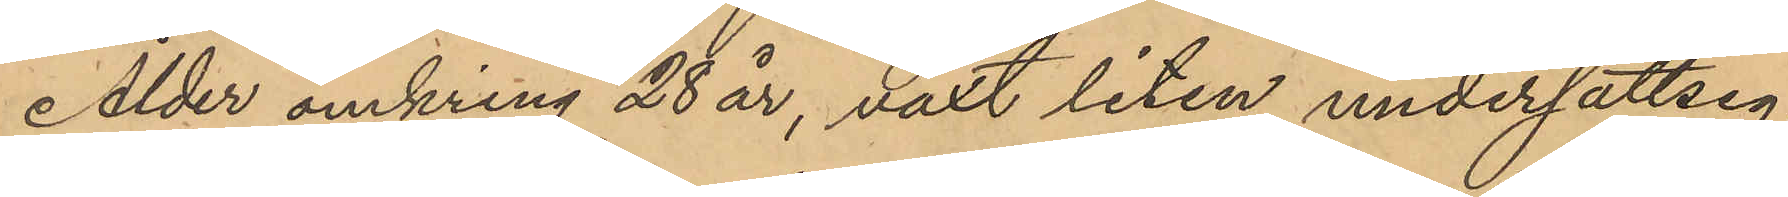Ålder omkring 28 år, växt liten undersättsig,
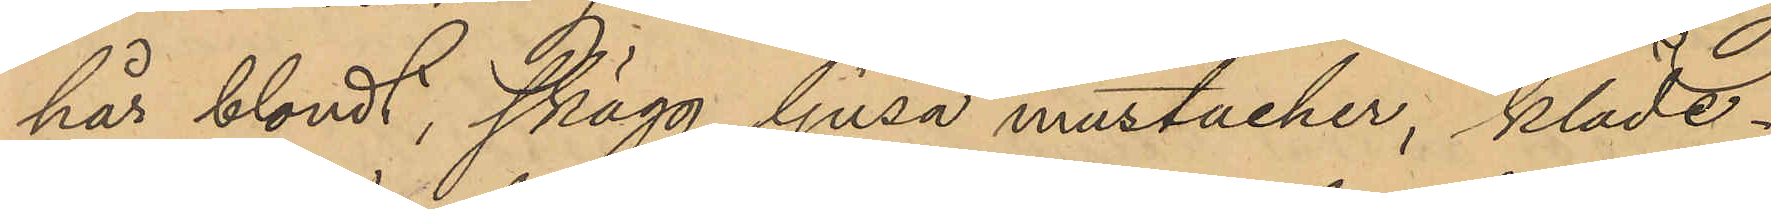hår blondt, skägg ljusa mustacher, kläde¬
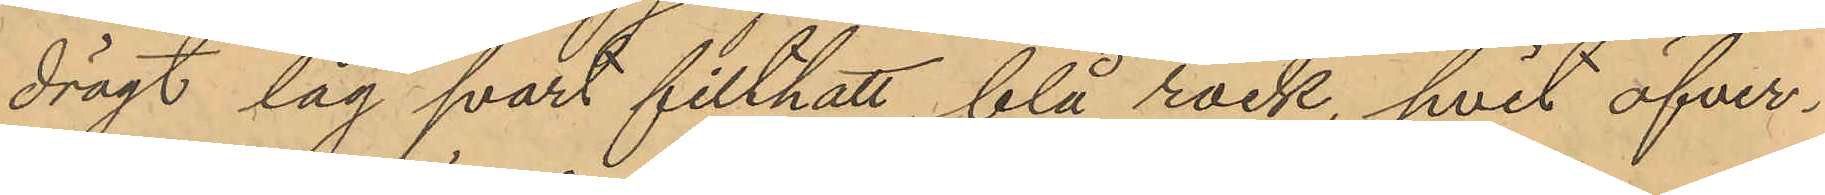drägt låg svart filthatt, blå rock, hvit öfver¬
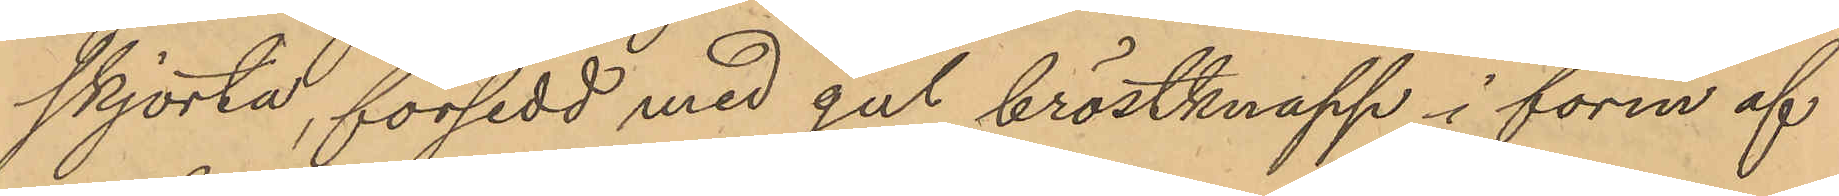skjorta, försedd med gul bröstknapp i form af
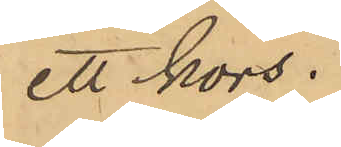ett kors.
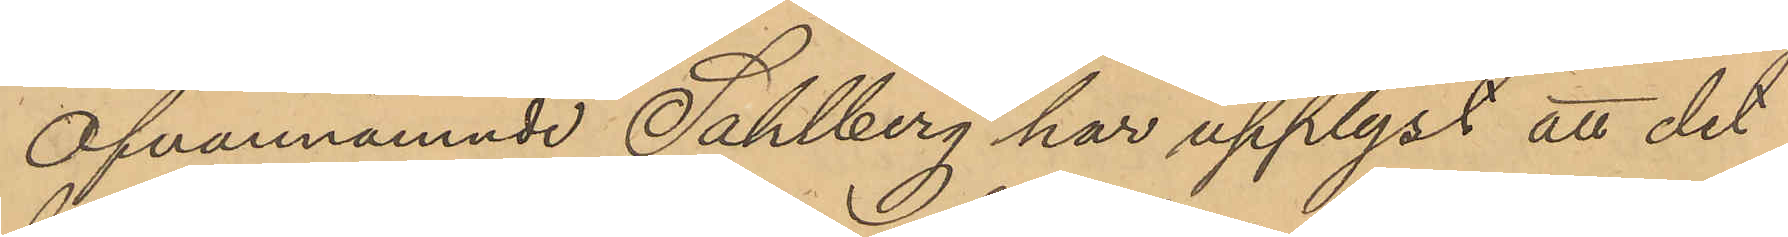Ofvannämnde Sahlberg har upplyst att det
